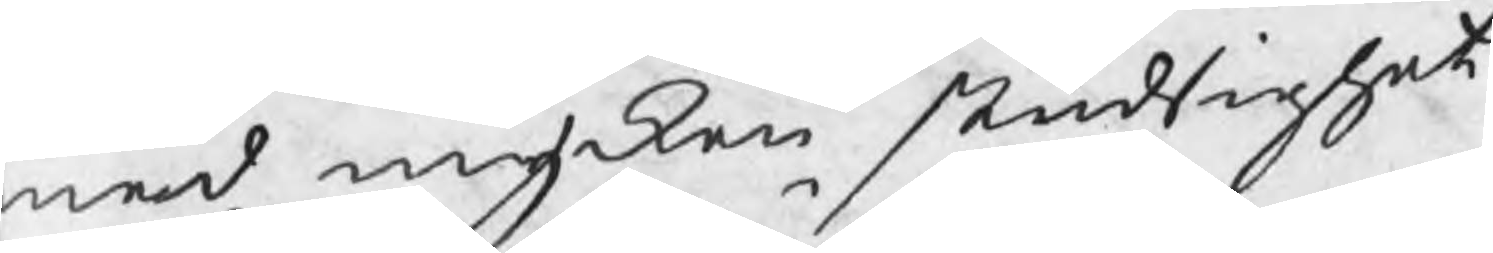med mycken studsighet
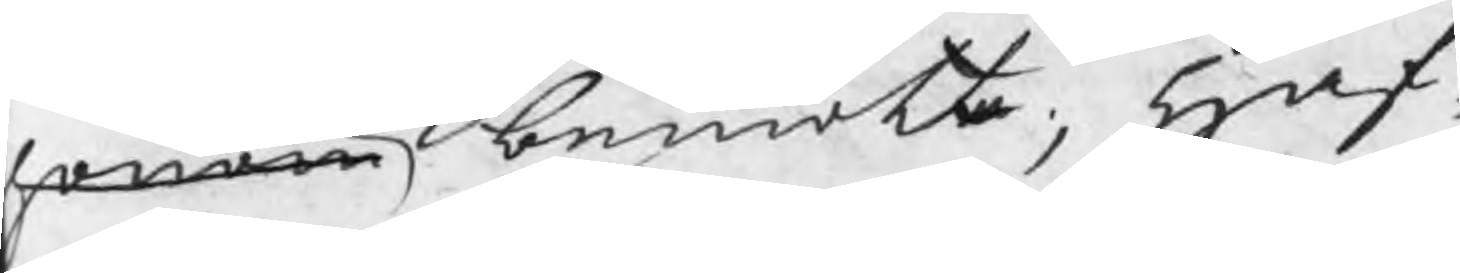honom bemötte; Haf¬
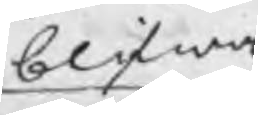blifwa
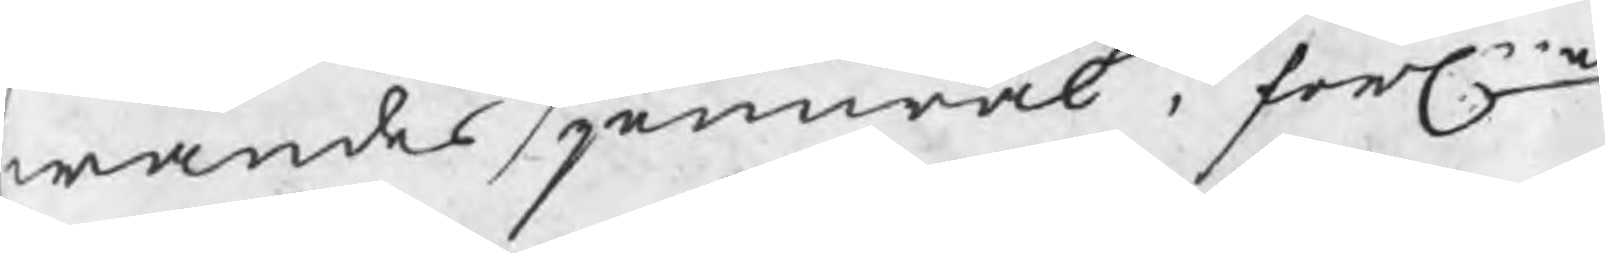wandes jemwäl i förln
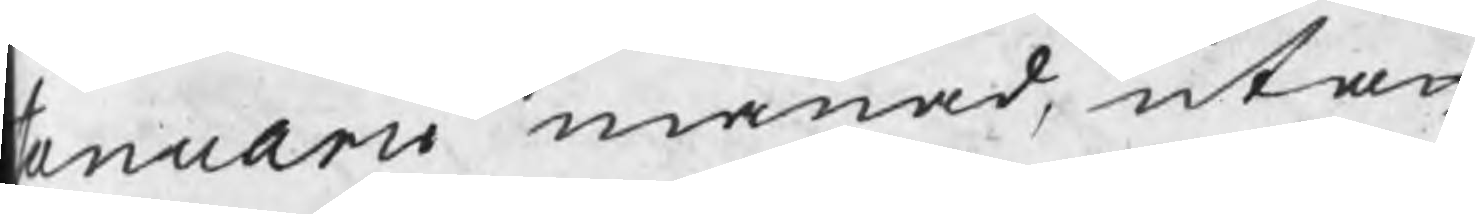Januarii månad, utan
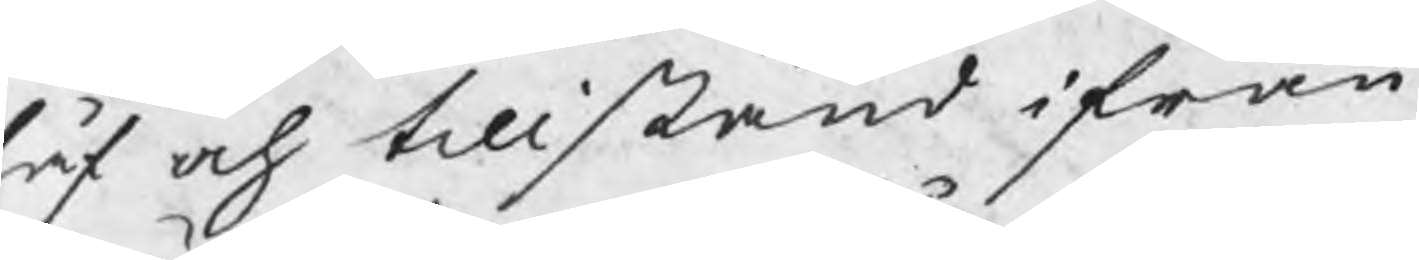låf och tillstånd ifrån
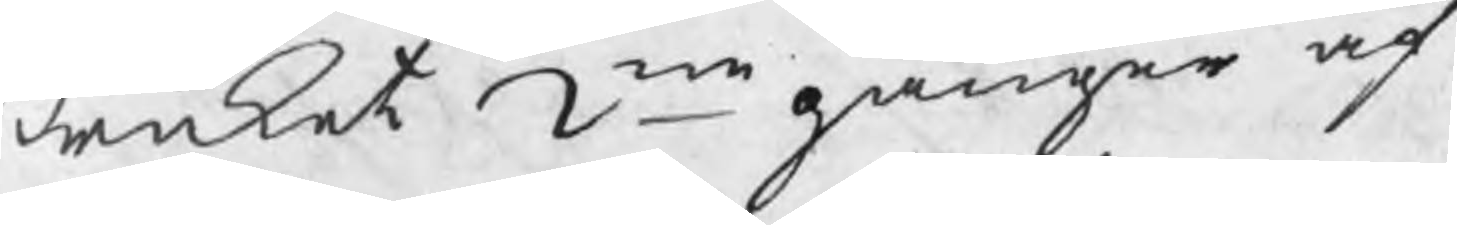Bruket 2ne gånger af¬
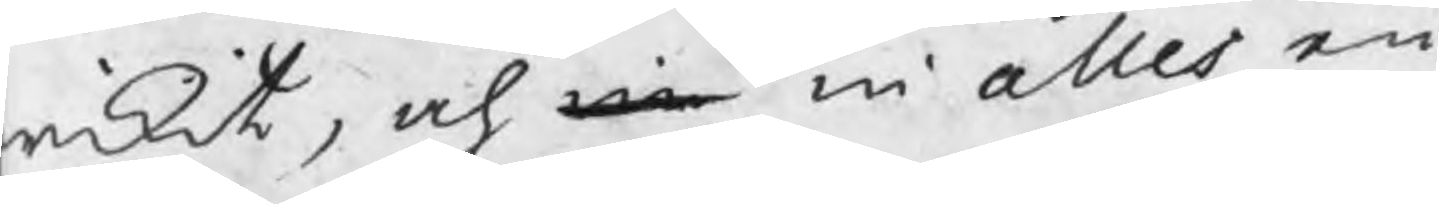wikit, och in in alles en
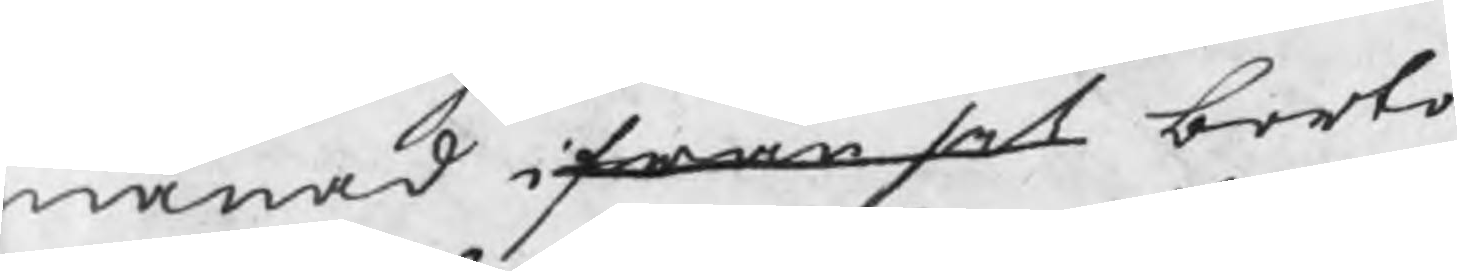månad ifrån sit borto
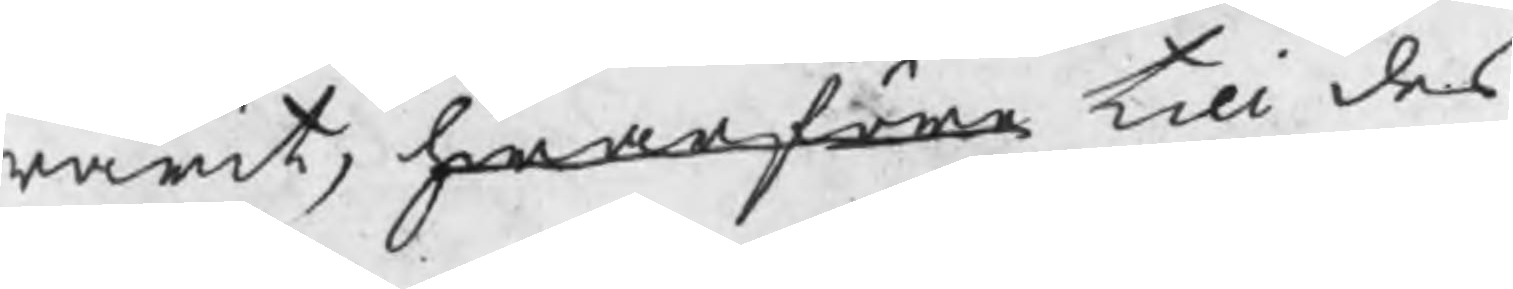warit, hwarföre till des
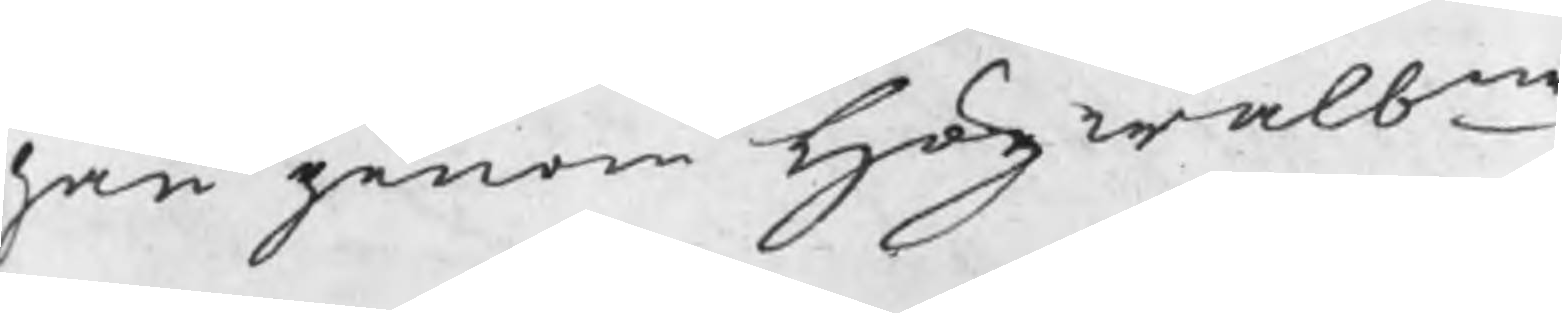han genom Högwälne
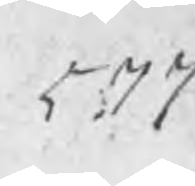577
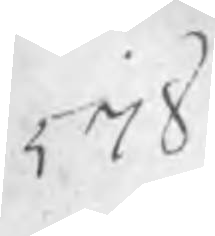578
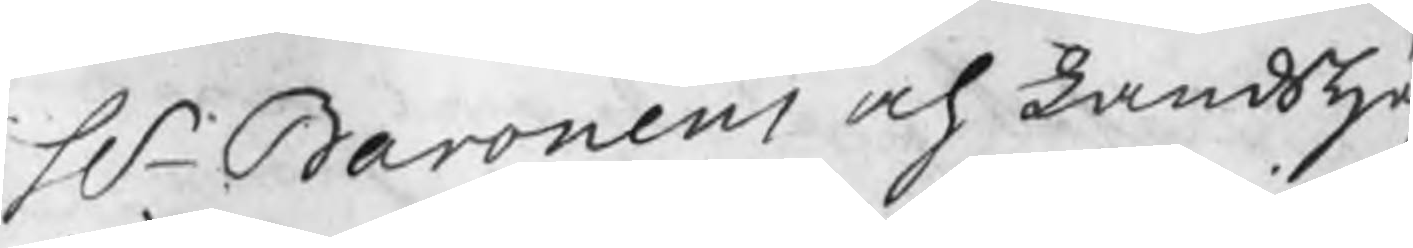Hr Baronens och Landshö
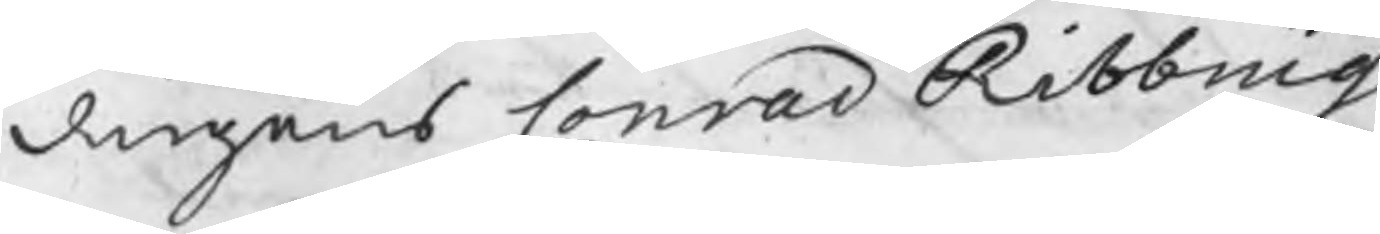dingens Conrad Ribbings
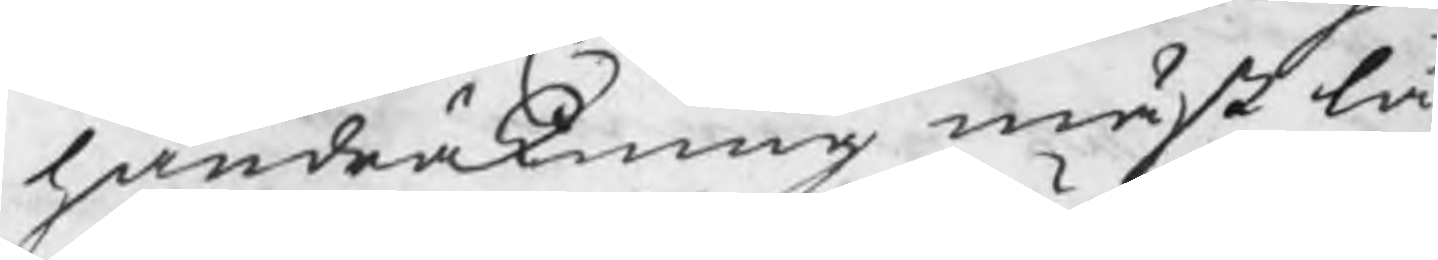handräkning måst lå
